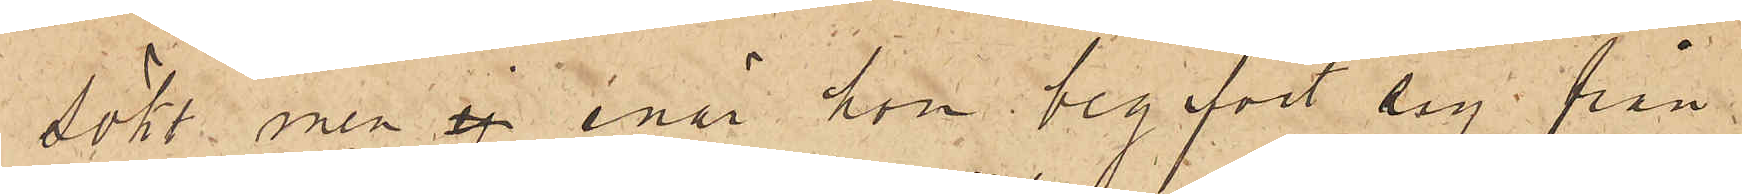sökt, men ej enär hon begifvit sig från
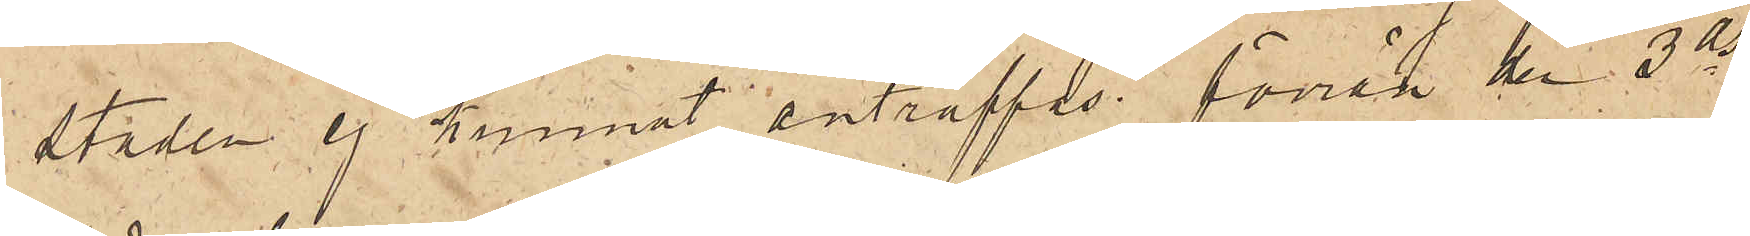staden ej kunnat anträffas förrän den 3 ds
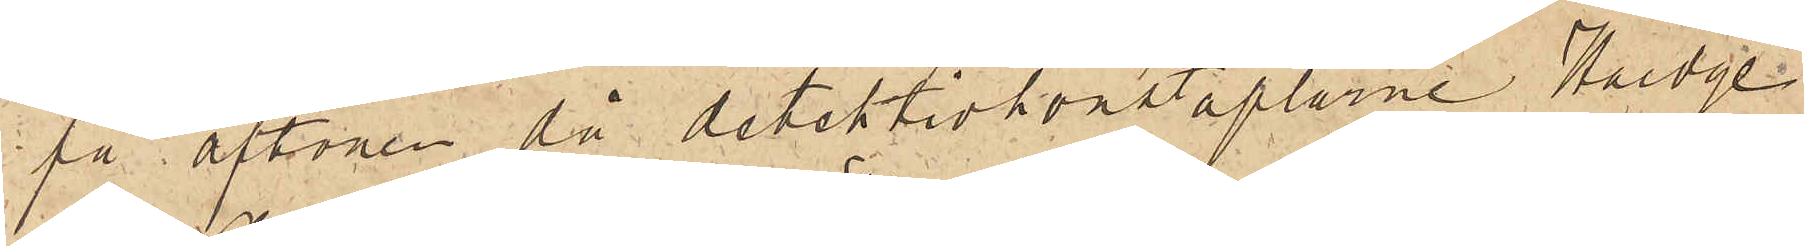få aftonen då detektivkonstaplarne Hedge
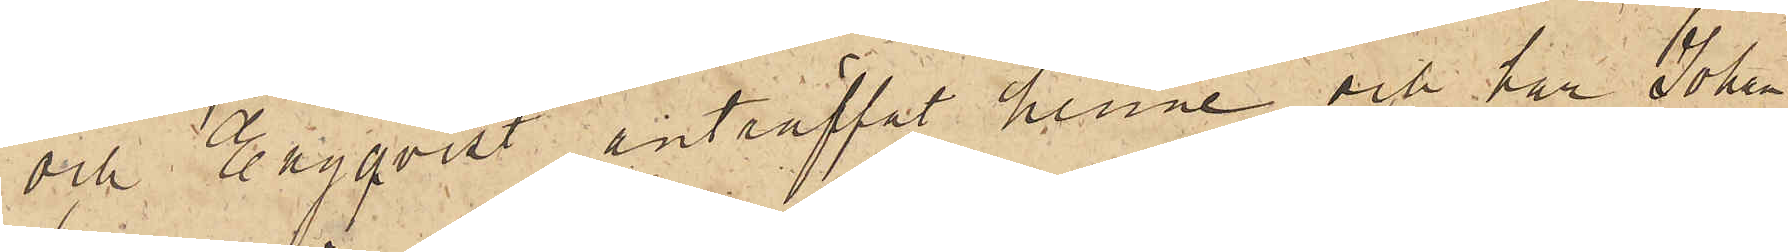och Engqvist anträffat henne och har Johan¬
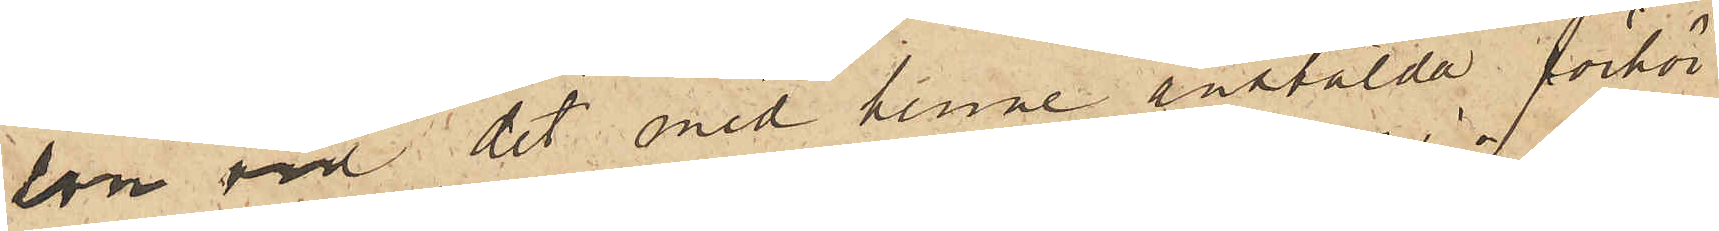son vid det med henne anstälda förhör
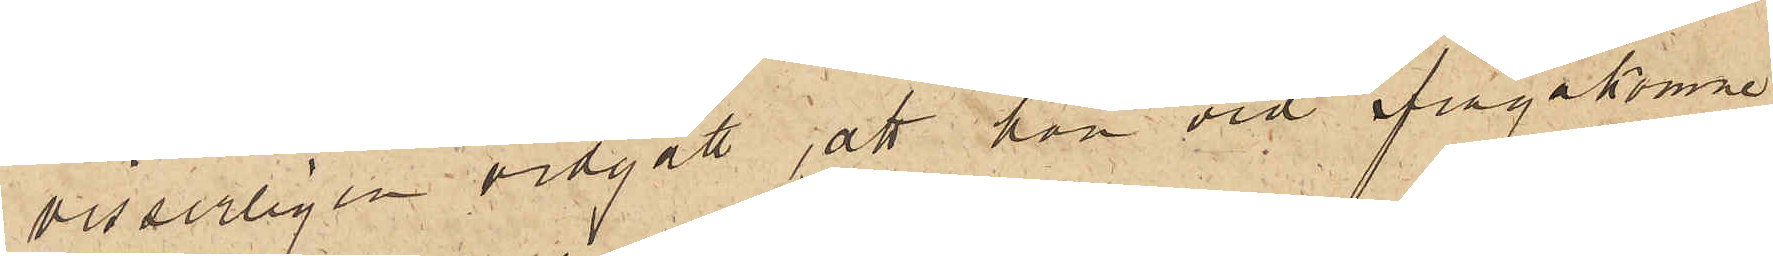visserligen vidgått, att hon vid ifrågakomne
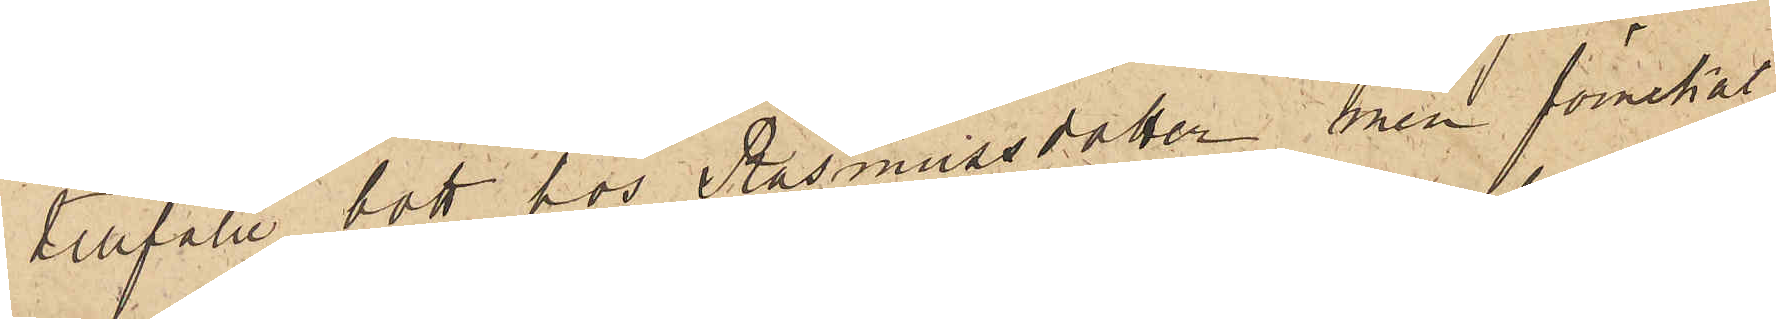tillfälle bott hos Rasmussdotter men förnekat
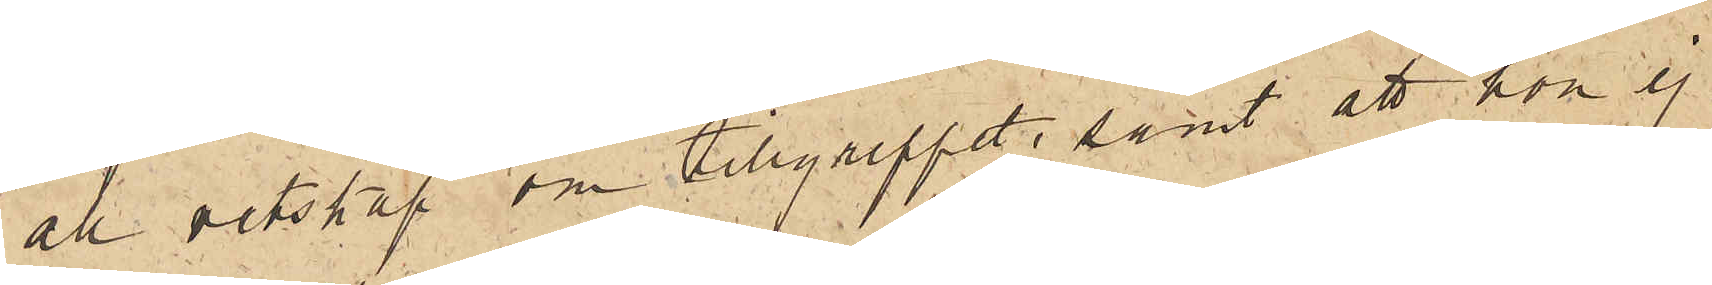all vetskap om tillgreppet; samt att hon ej
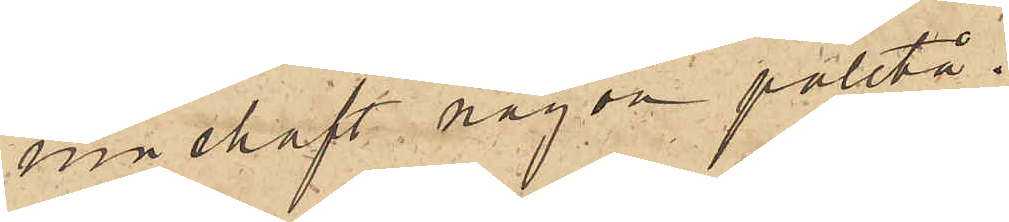innehaft någon paletå.
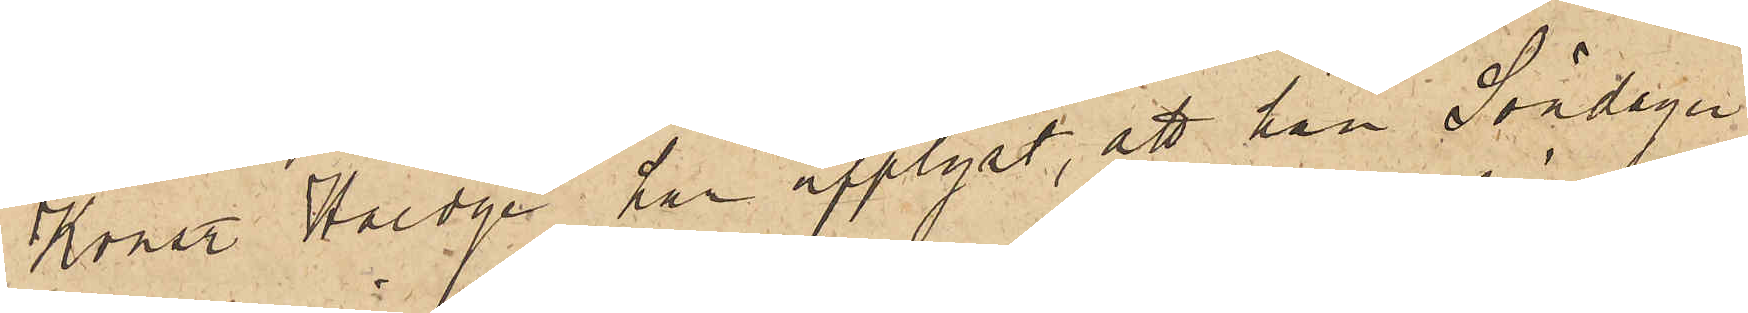Konstl Hedge har upplyst, att han Söndagen
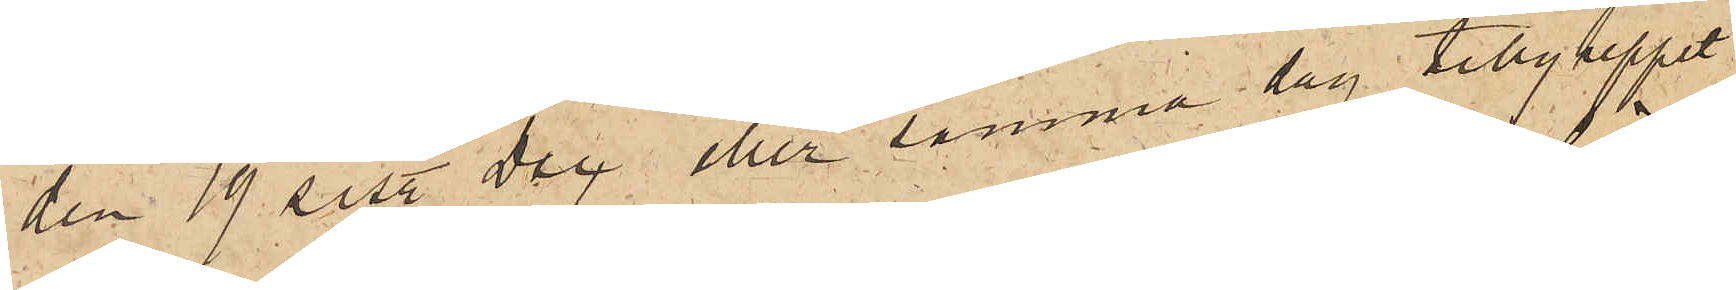den 19 sist. Dec eller samma dag tillgreppet
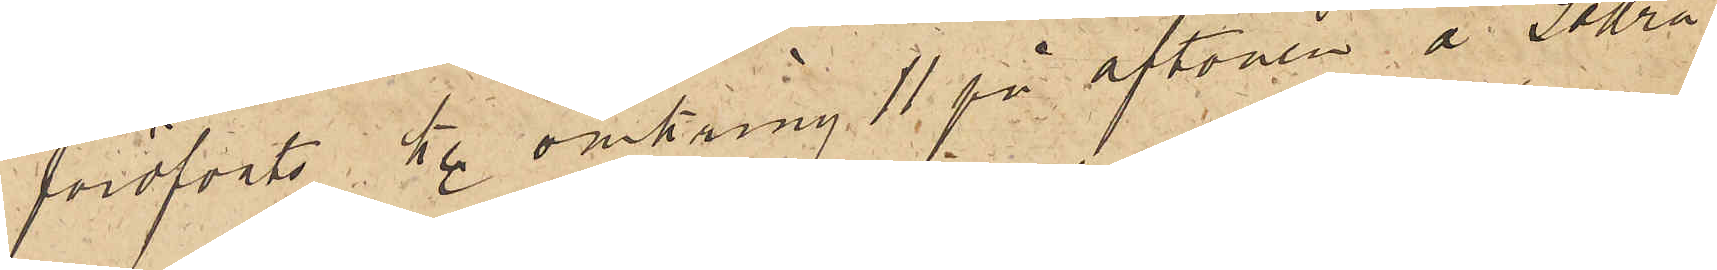föröfvats kl. omkring 11 på aftonen å Södra
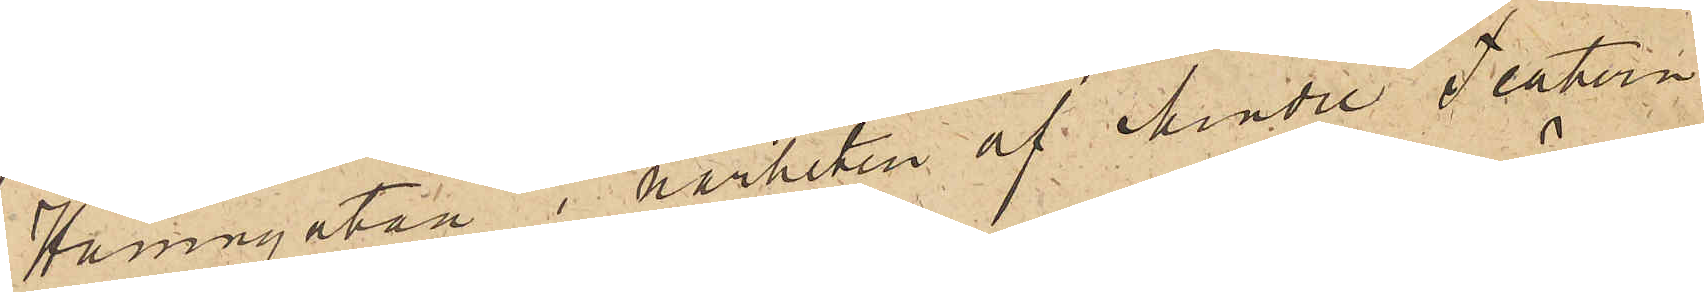Hamngatan i närheten af Mindre Teatern
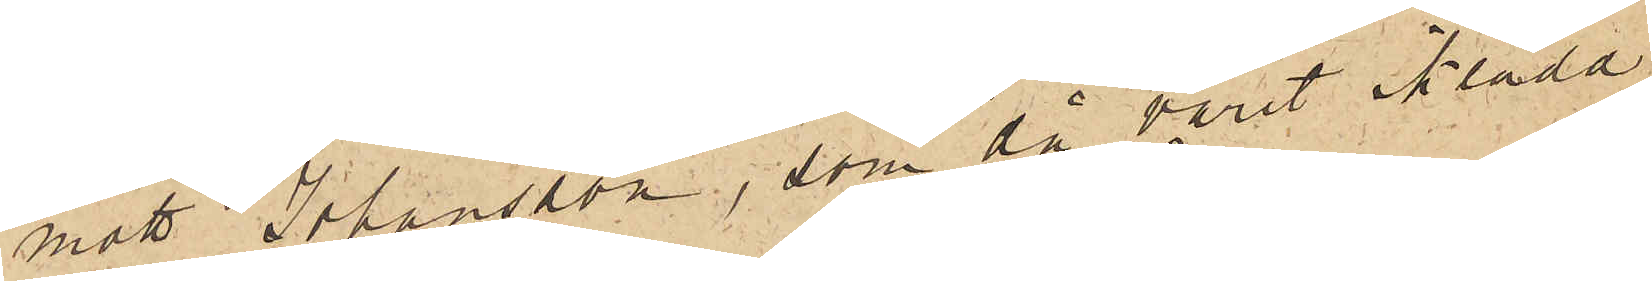mött Johansson, som då varit iklädd
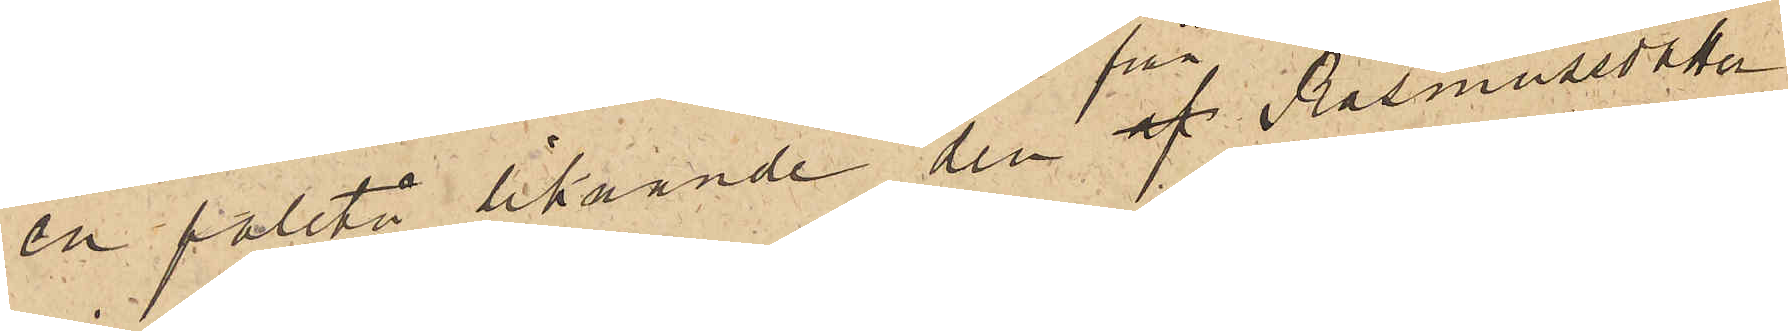en paletå liknande den af från  Rasmussdotter
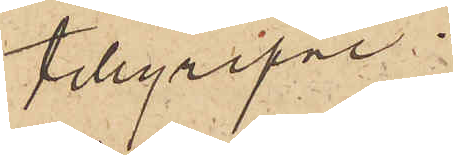tillgripne.
